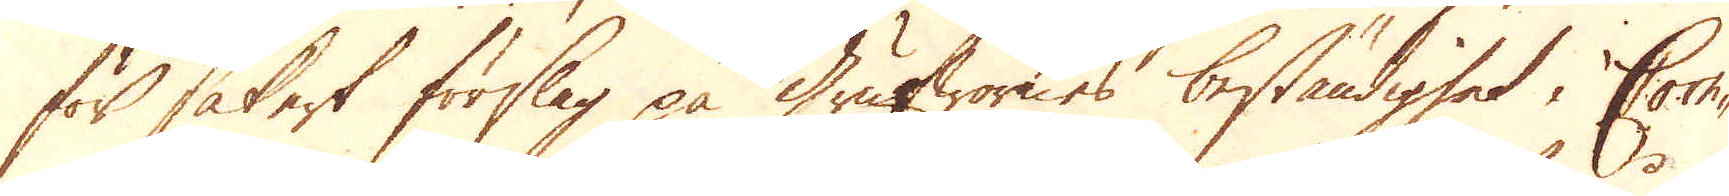för säkert förslag på grufwornes beständighet i Corn-
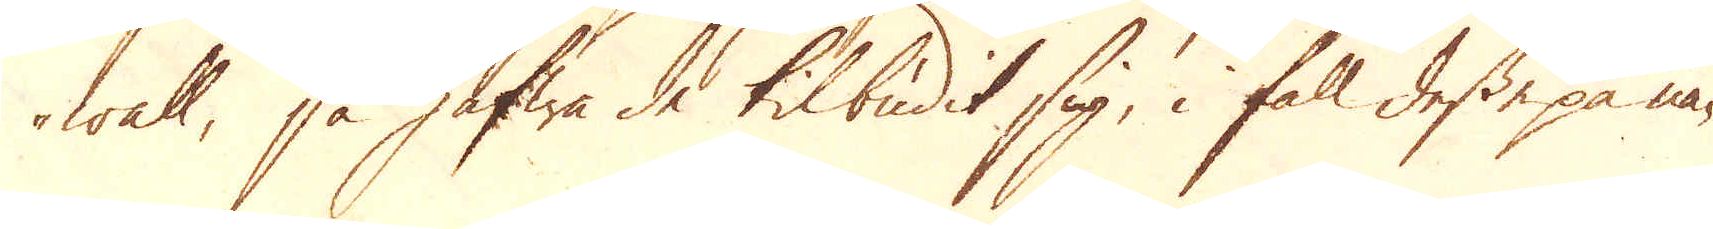wall, så hafwa de tilbudit sig, i fall desse på nå-
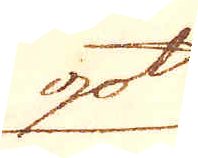got
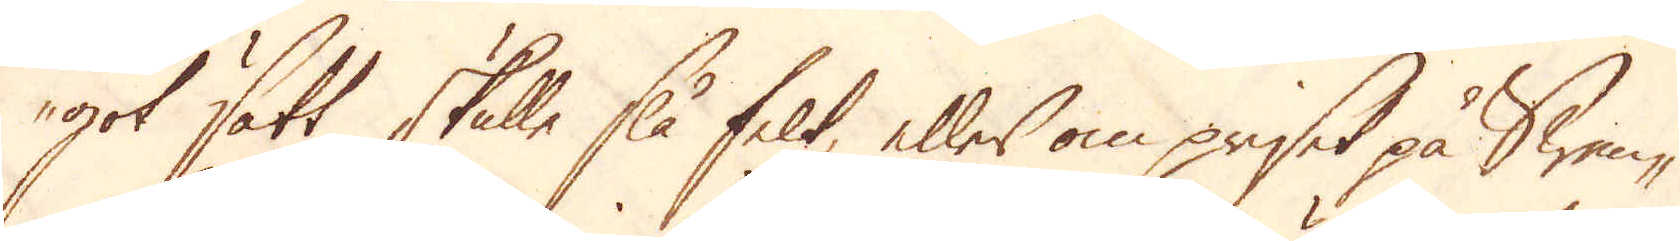got sätt skulle slå felt, eller om priset på Swen-
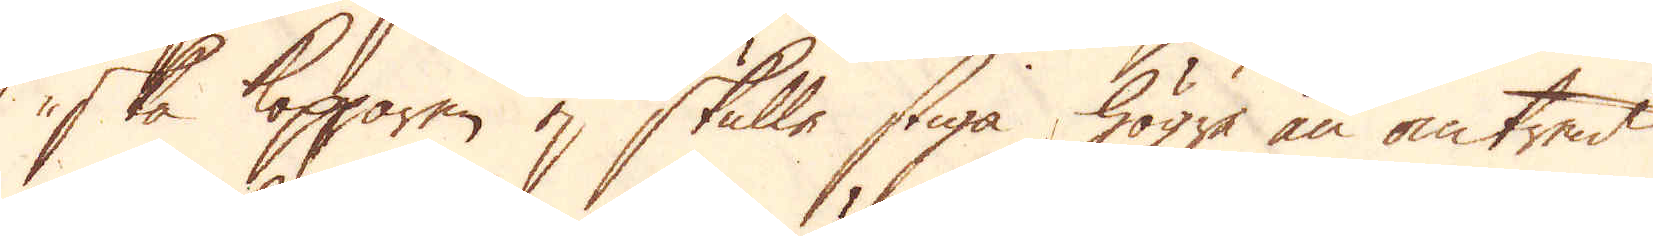ska Kopparen ej skulle stiga högre än omtrent
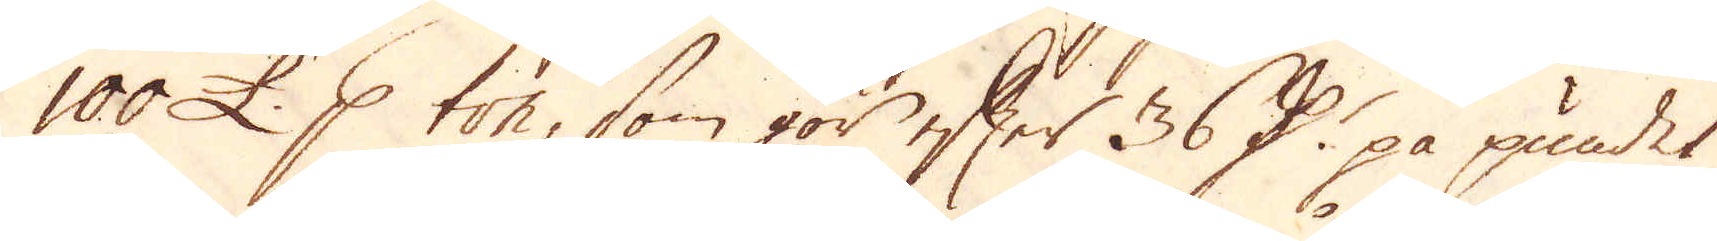100 £. p ton, som gör efter 36 D:r på pundet
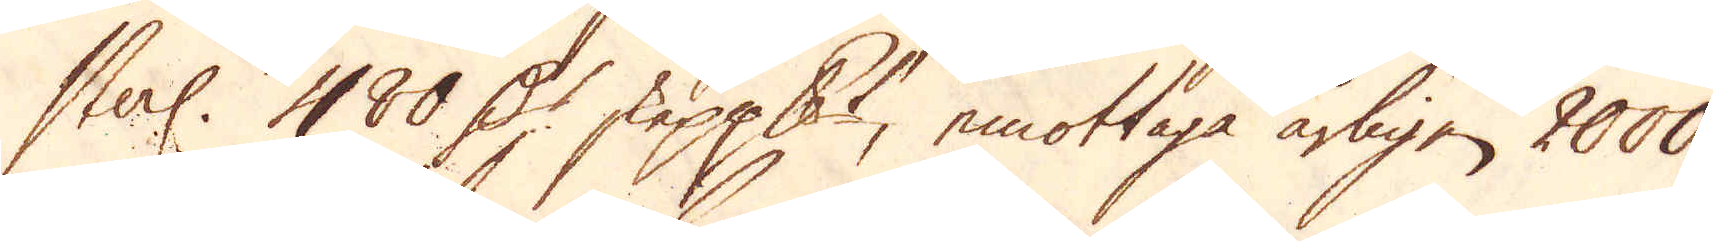sterl. 480 D:r skeppundet, emottaga årligen 2000
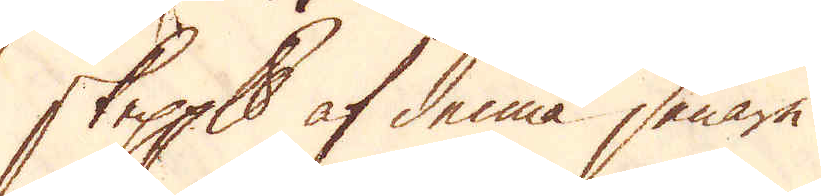skeppund af denna senare.
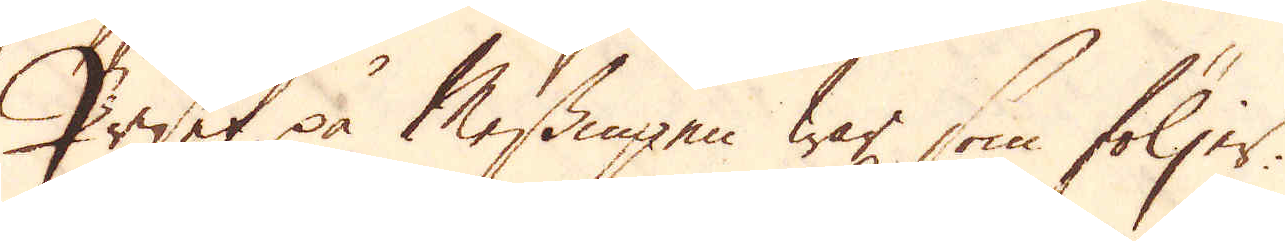Priset på Messingen war, som följer:
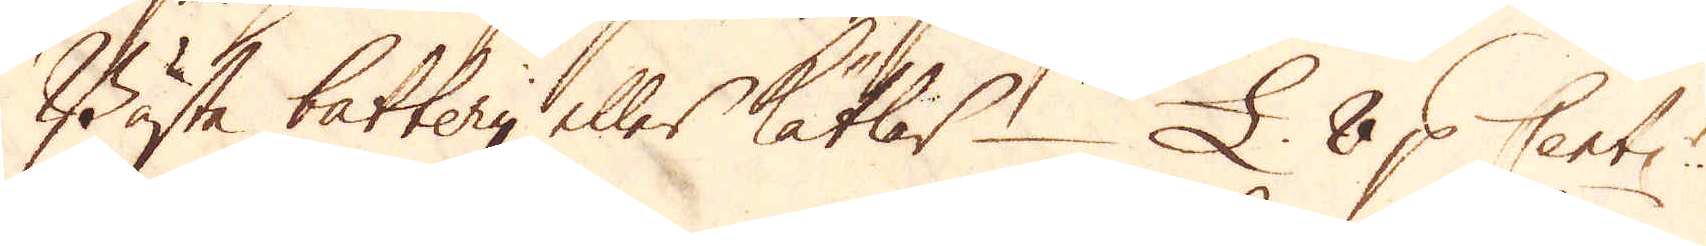Bästa battery eller Kätlar – £. 8 p Cent:r
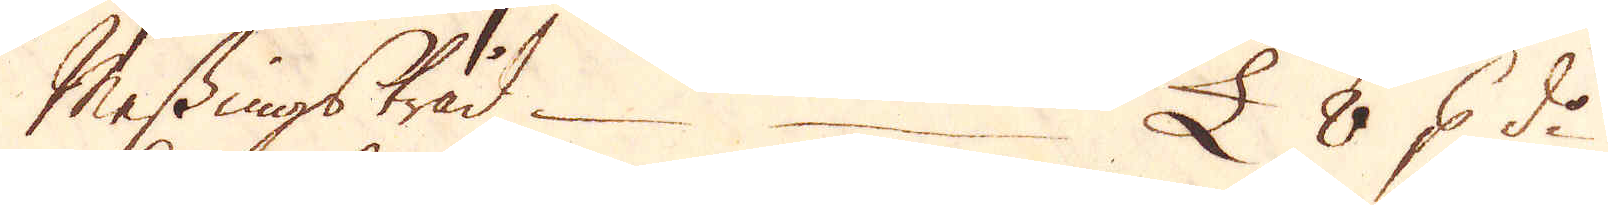Messingstråd. – – £ 8 p d:o
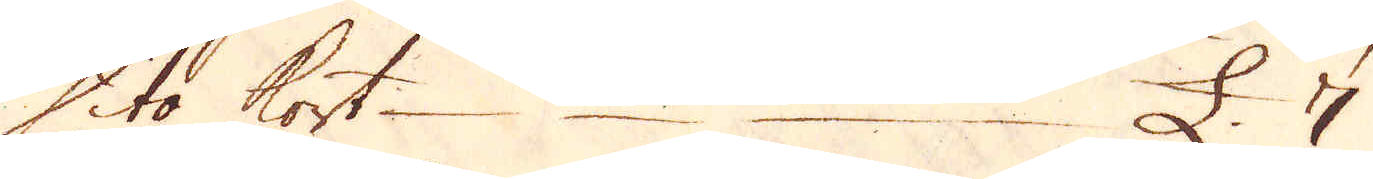Dito kort – – – £. 7
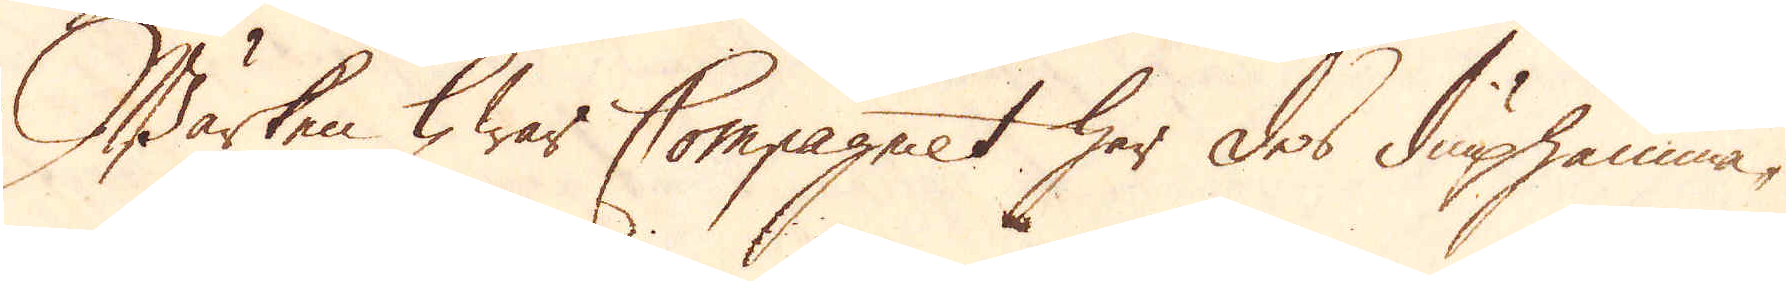Wärken hwar Compagniet har des diuphamma-
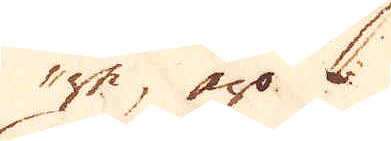re, äro:
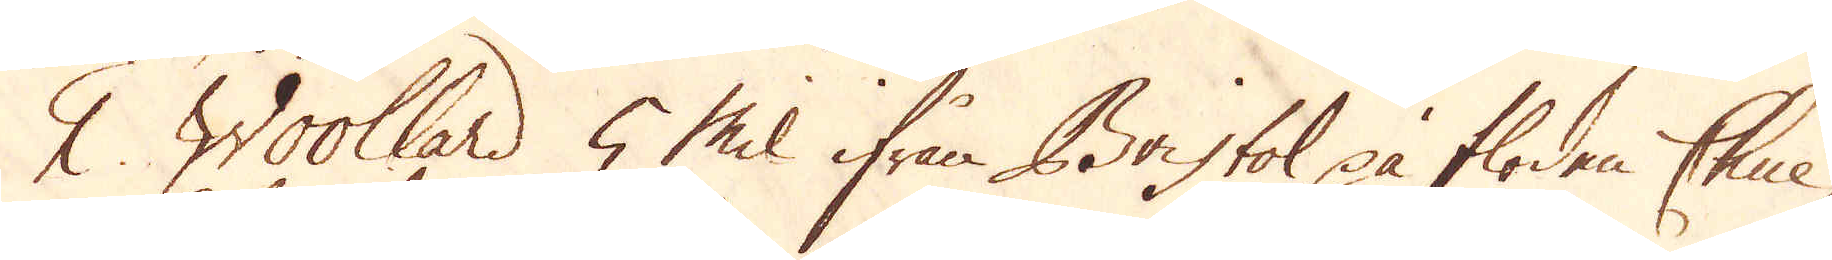1. Woollard 5 Mil ifrån Bristol på floden Chue,
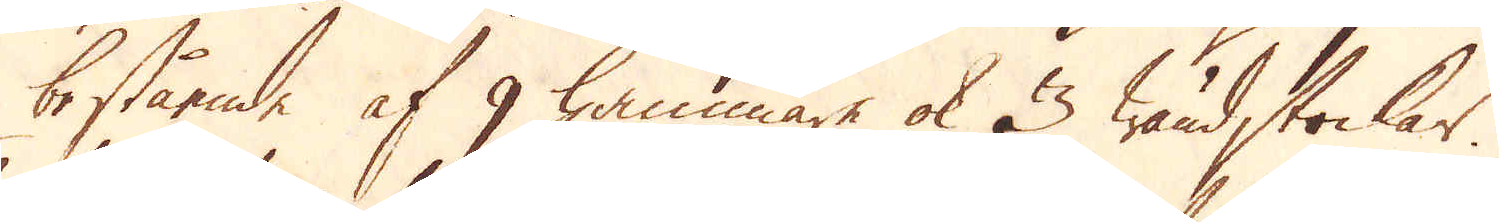bestående af 9 hammare ok 3 wändstockar.
